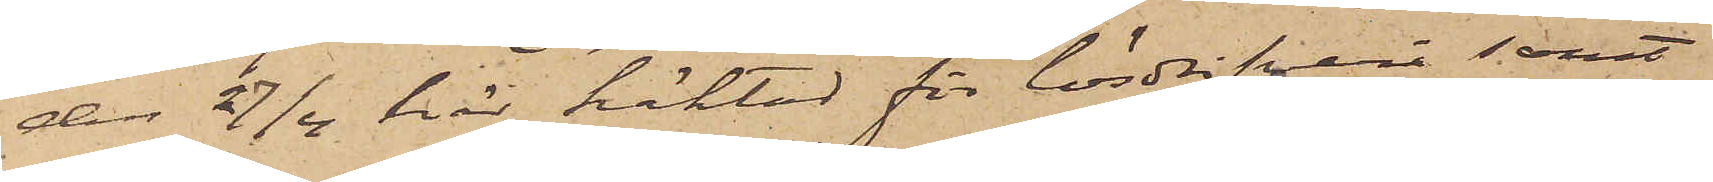den 27/4 här häktad för lösdrifveri samt
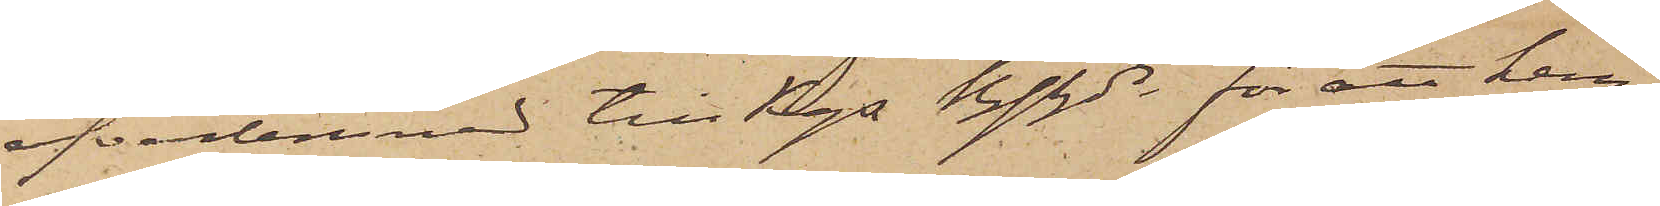öfverlemnad till Kgs Bfhde för att hem¬
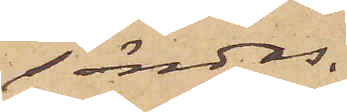sändas.
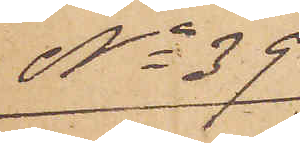No 39
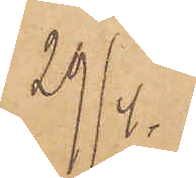29/4.
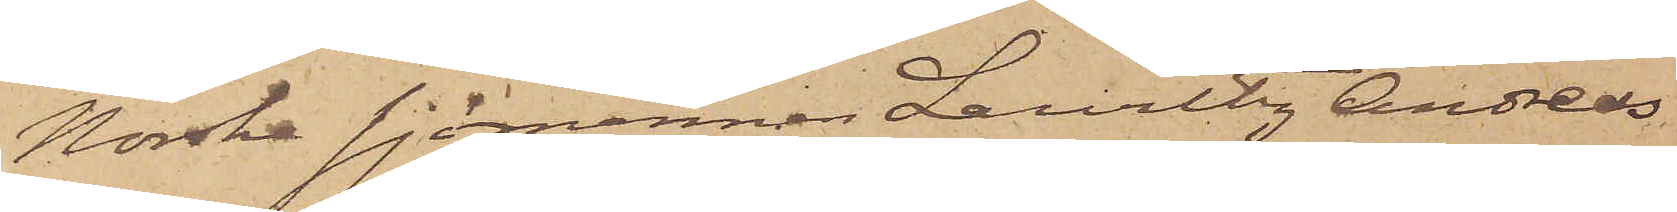Norske sjömannen Lauritz Andreas
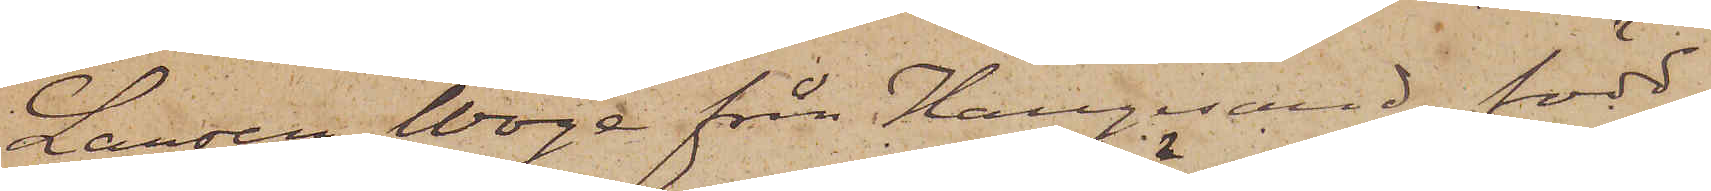Larsen Woge från Haugesund, född
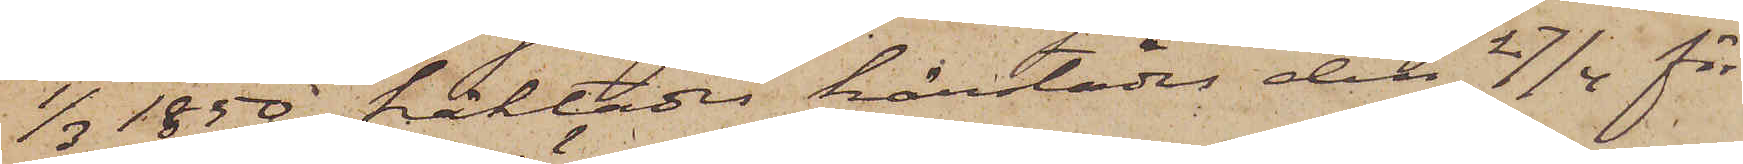1/3 1850, häktades härstädes den 27/4 för
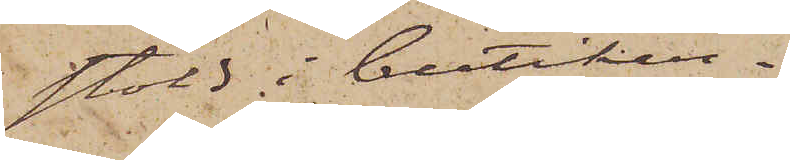stöld i butiker.
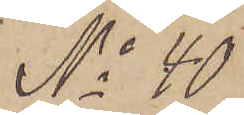No 40
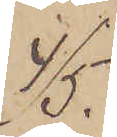4/5.
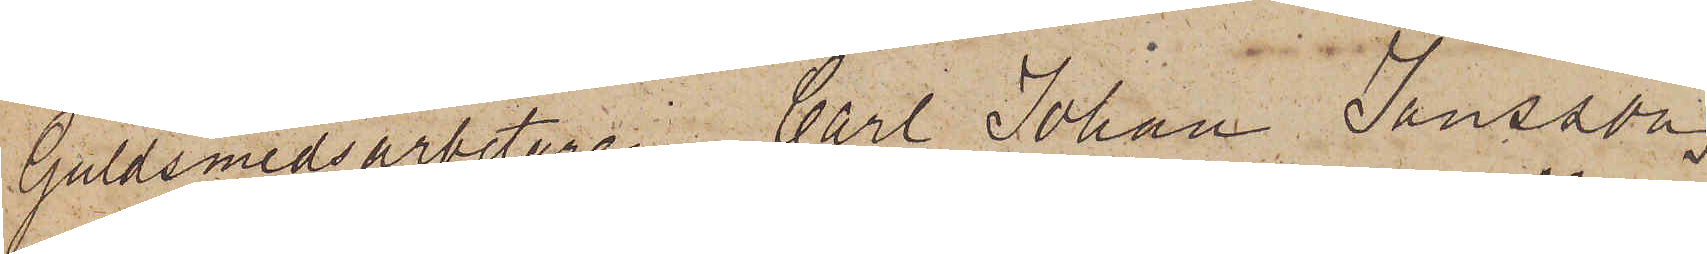Guldsmedsarbetaren Carl Johan Jansson
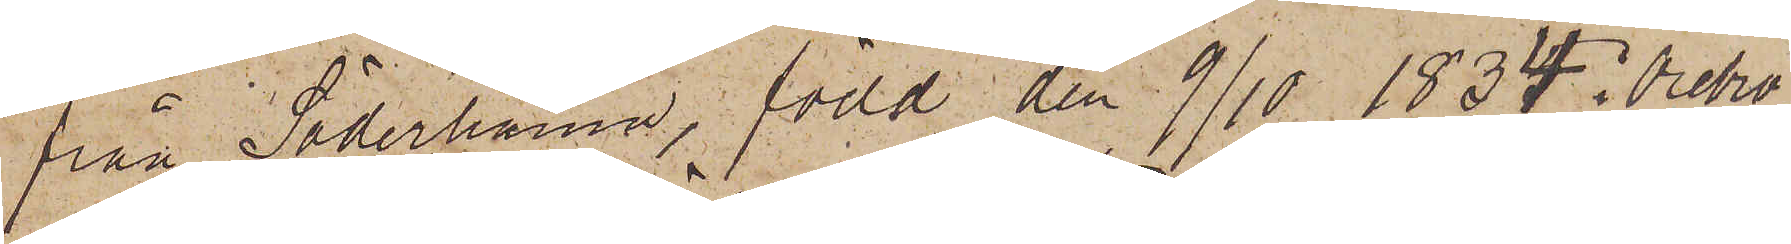från Söderhamn, född den 9/10 1834 i Örebro,
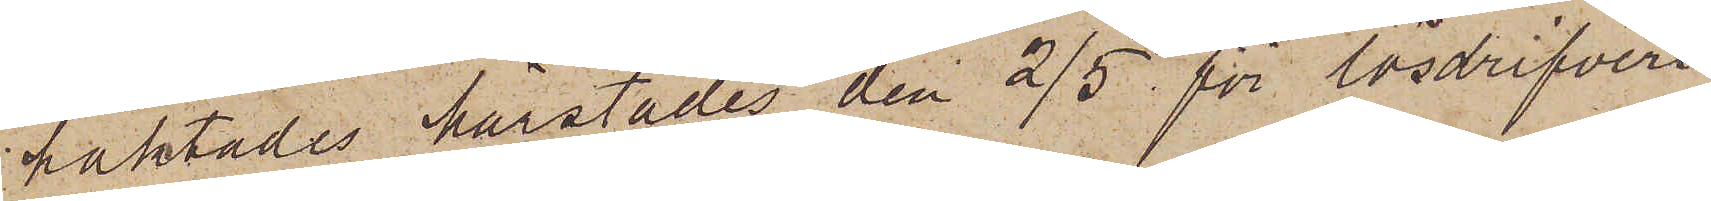häktades härstädes den 2/5 för lösdrifveri
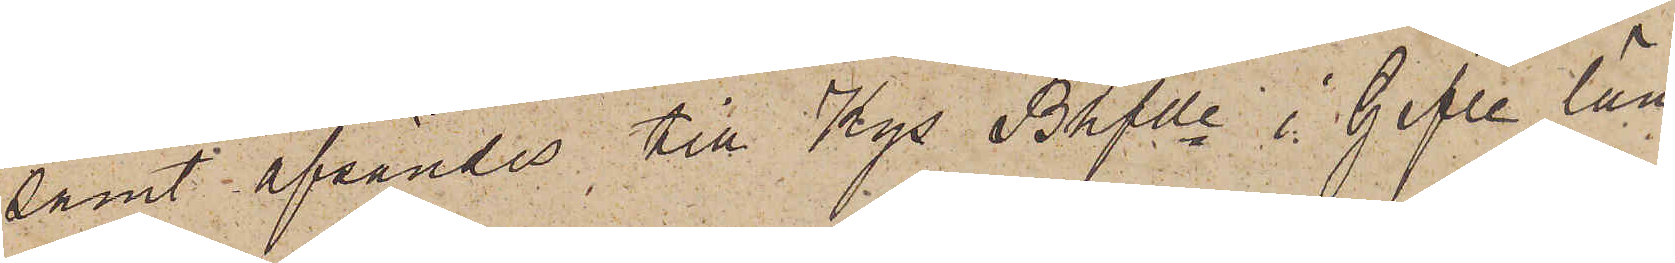samt afsändes till Kgs Bhfde i Gefle län.
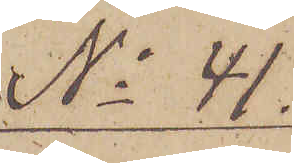No 41.
